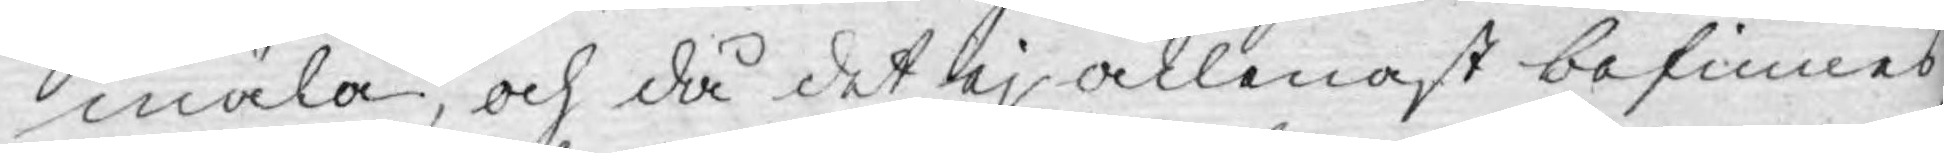mäla, och då det ej allenast befinnes
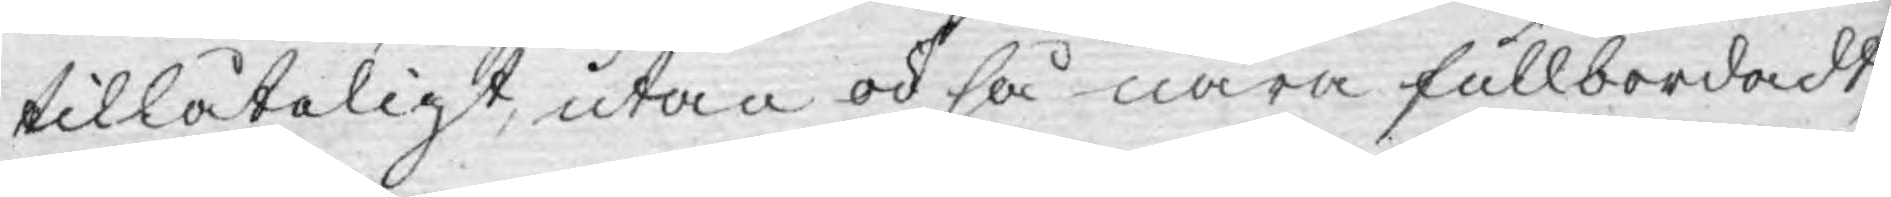tillåteligt, utan ock så nära fullbordadt,
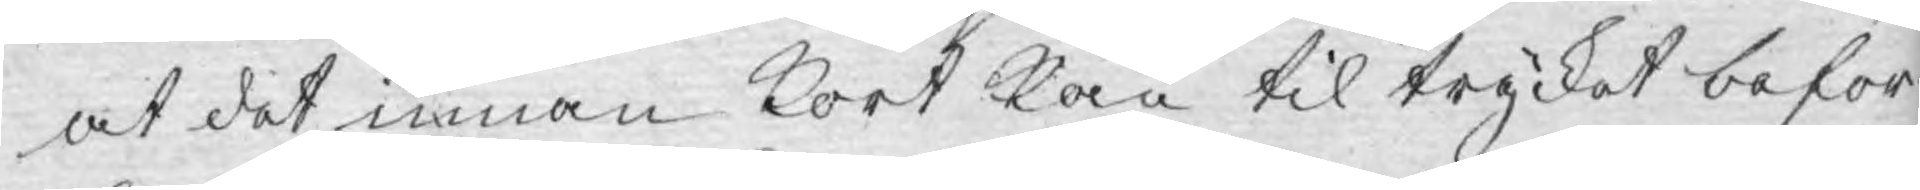at det innan kort kan til trycket befor¬
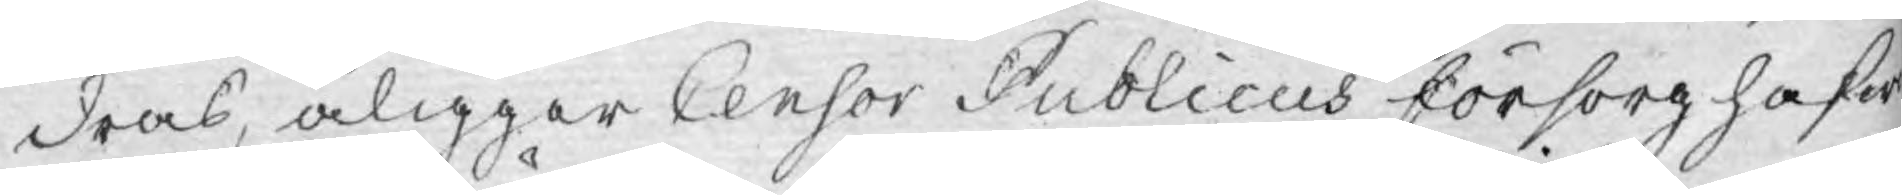dras, åligger Censor Publicus försorg hafw¬
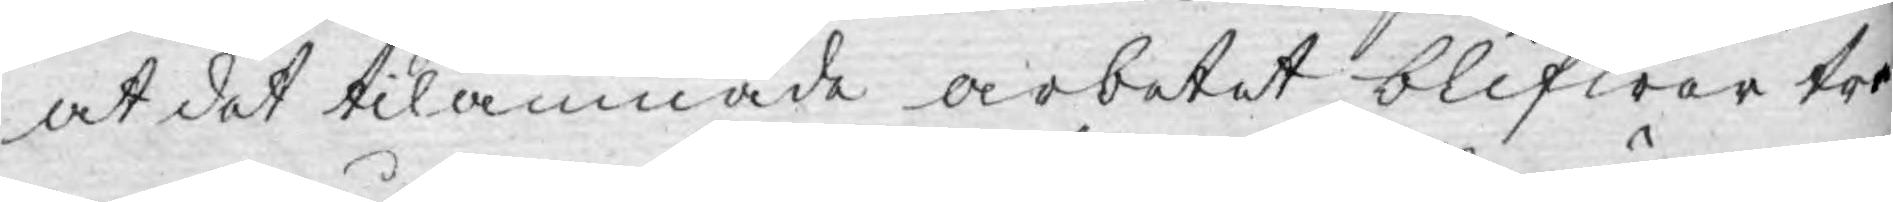at det tilämnade arbetet blifwer tre¬
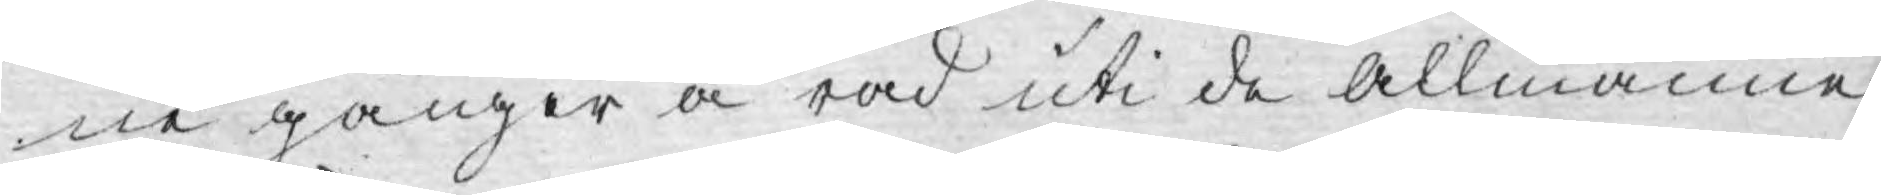ne gånger å rad uti de allmänne
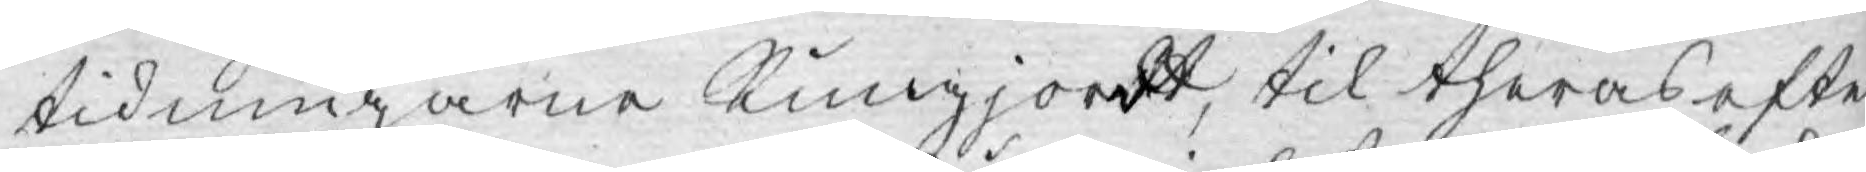tidningarne kungjordt, til theras efter¬
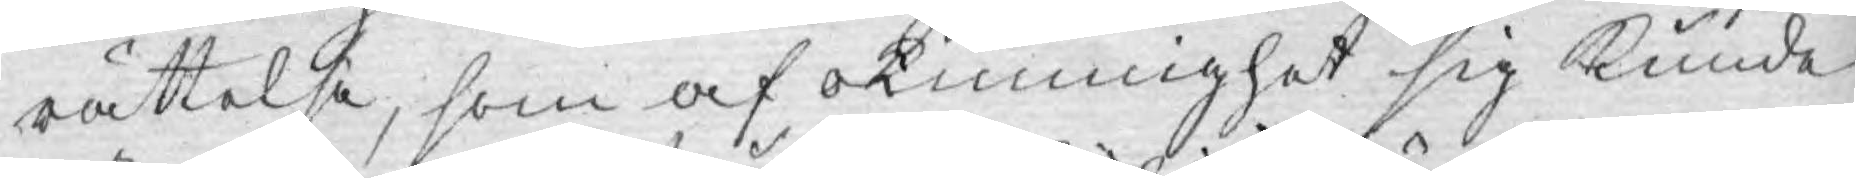rättelse, som af okunnighet sig kunde
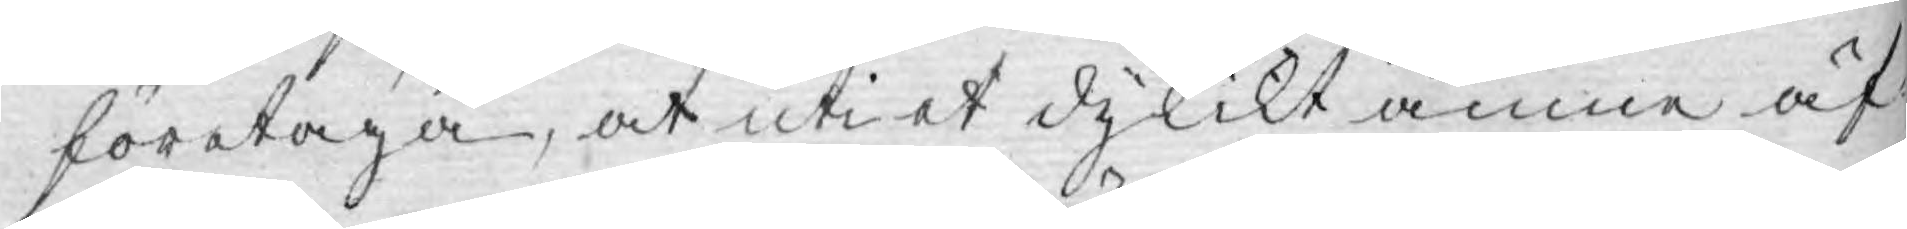företaga, at uti et dylikt ämne äf¬
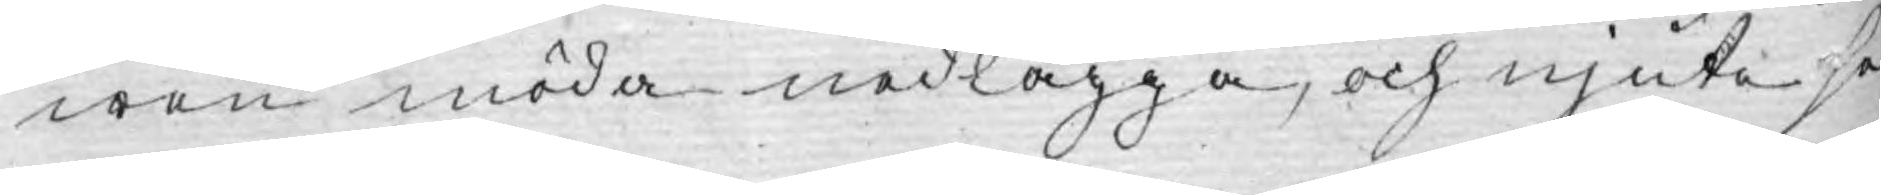wen möda nedlägga, och njute se¬
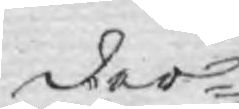der¬
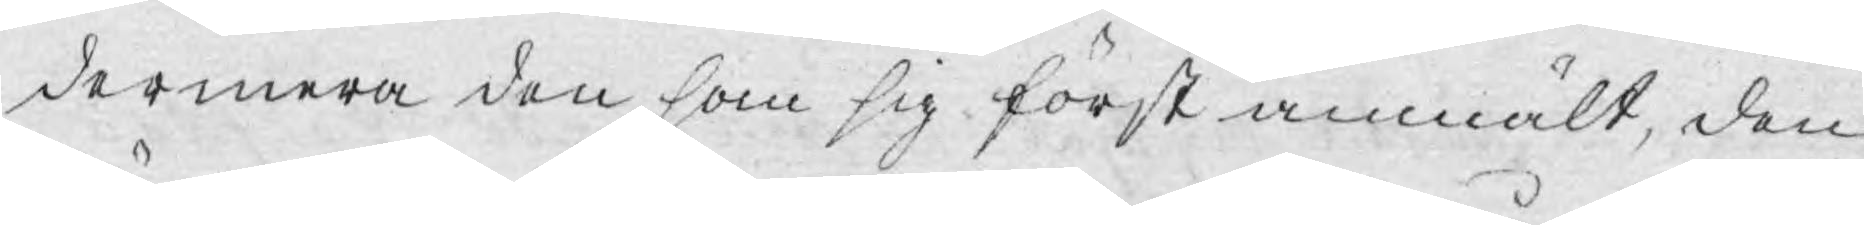dermera den som sig först anmält, den
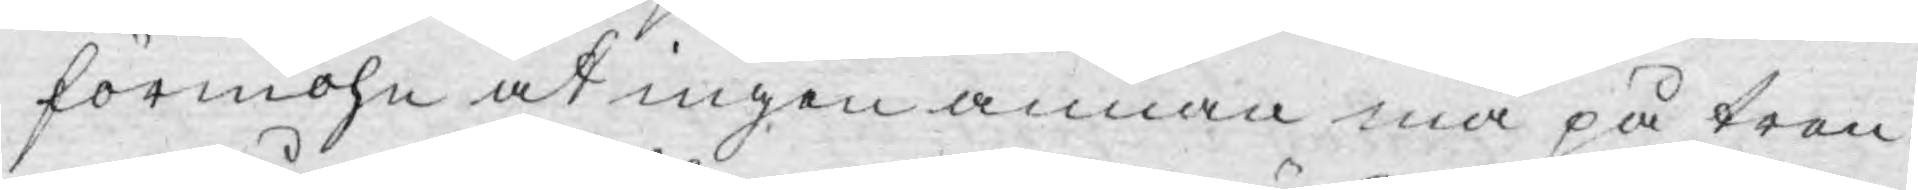förmohn at ingen annan må på tren¬
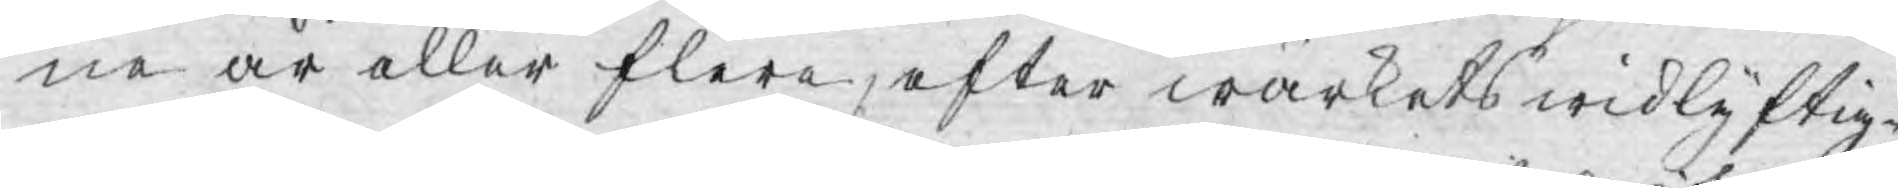ne år eller flere, efter wärkets widlyftig¬
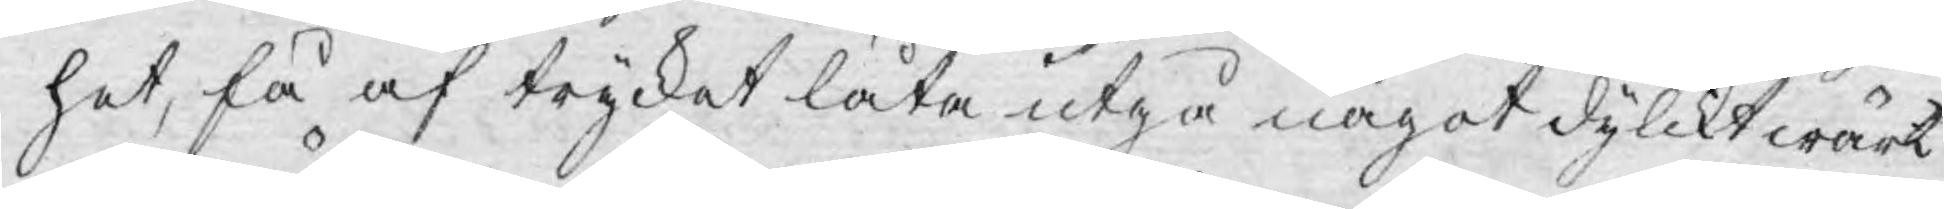het, få af trycket låta utgå något dylikt wärk
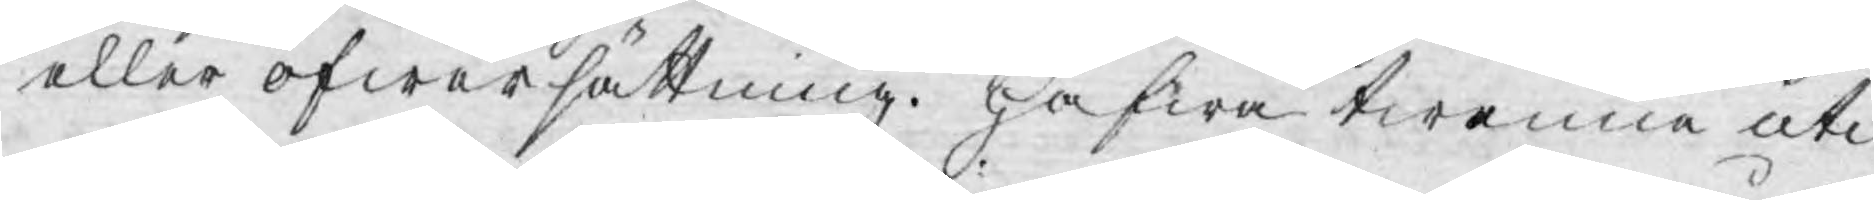eller öfwersättning. Hafwa twenna uti
